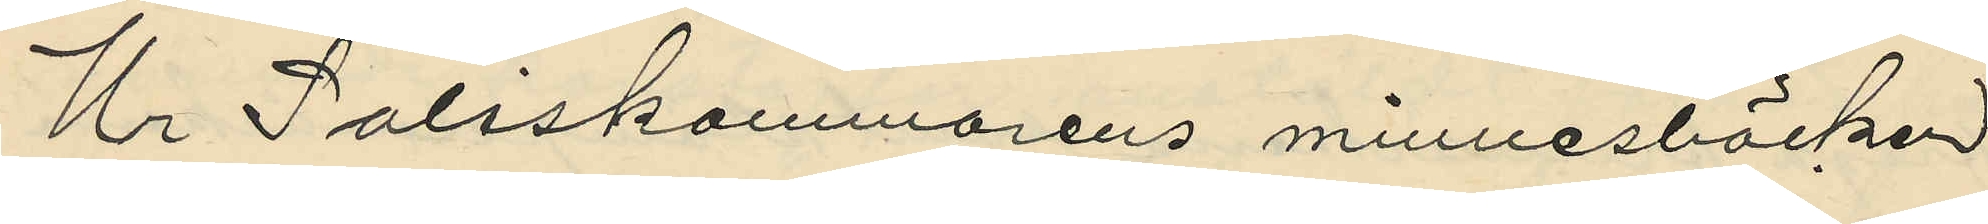Ur Poliskammarens minnesböcker
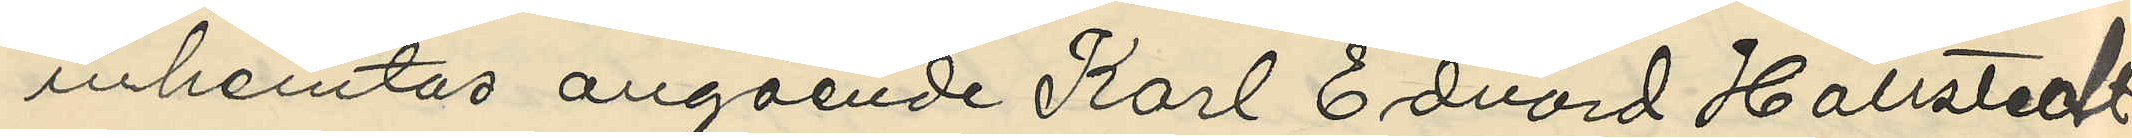inhemtas angående Karl Edvard Hallstedt
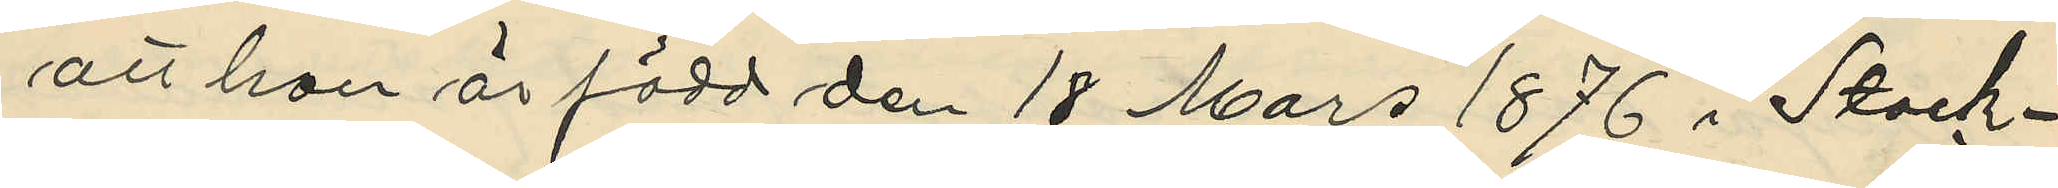att han är född den 18 Mars 1876 i Stock¬
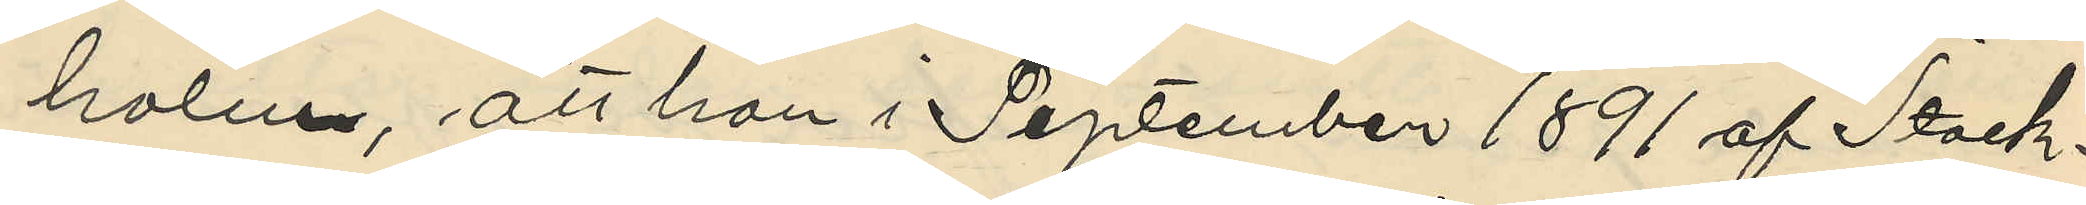holm, att han i September 1891 af Stock¬
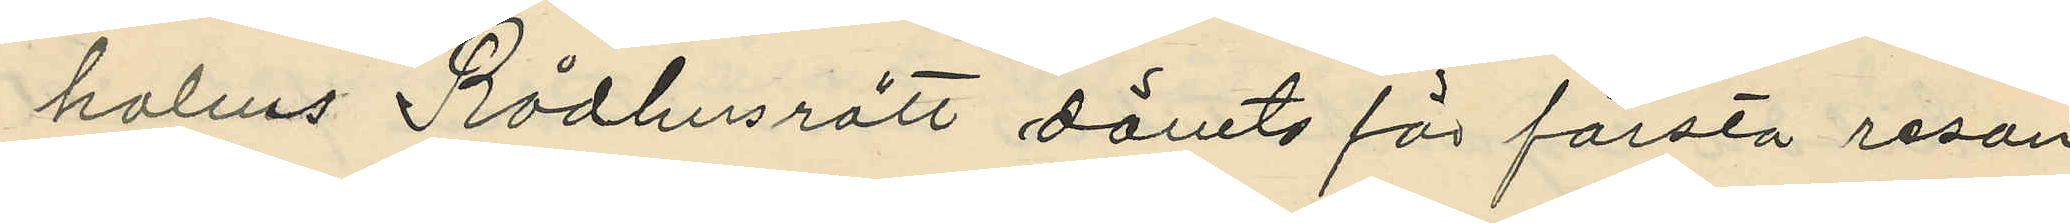holms Rådhusrätt dömts för första resan
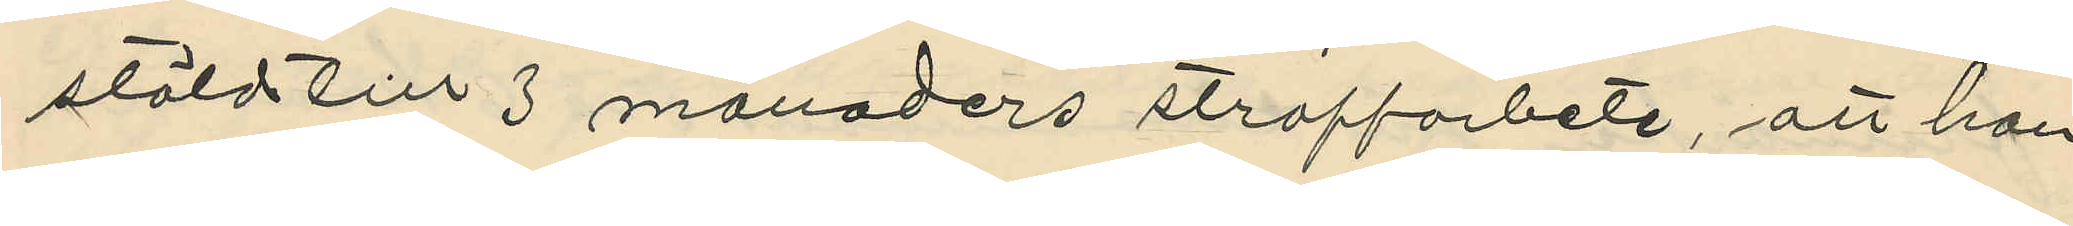stöld till 3 månaders straffarbete, att han
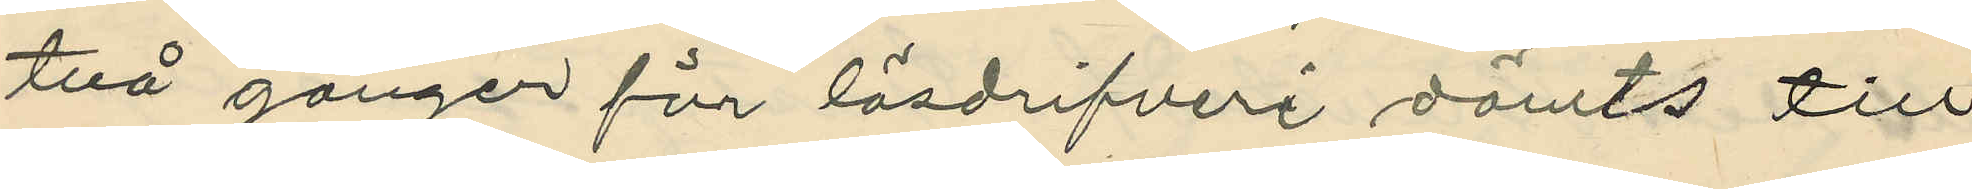två gånger för lösdrifveri dömts till
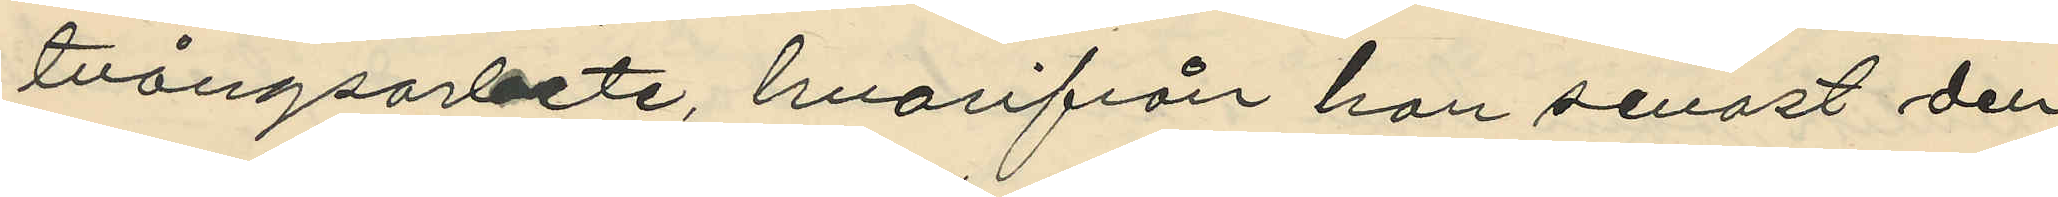tvångsarbete, hvarifrån han senast den
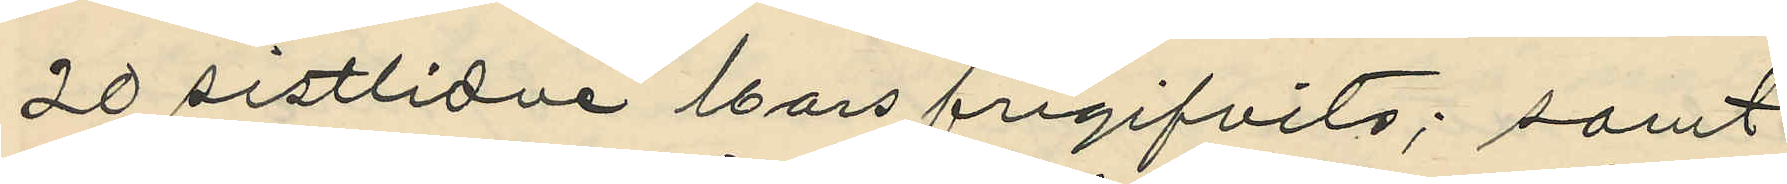20 sistlidne Mars frigifvits; samt
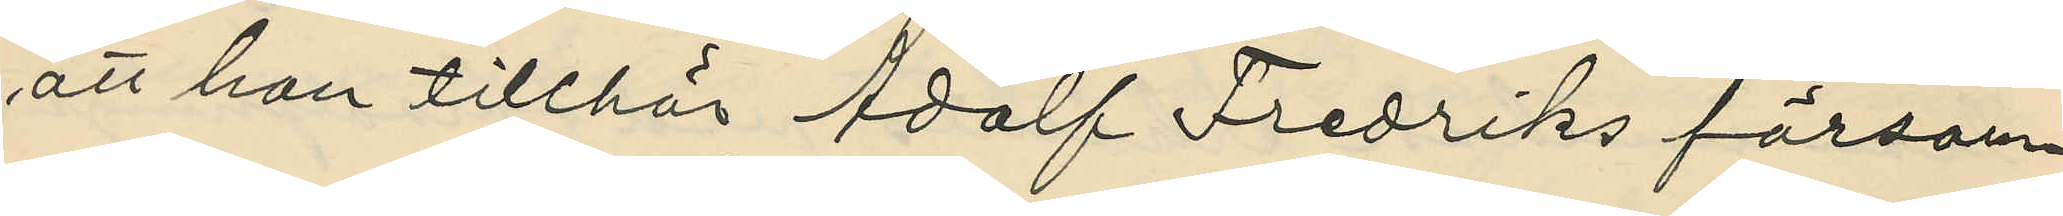att han tillhör Adolf Fredriks försam¬
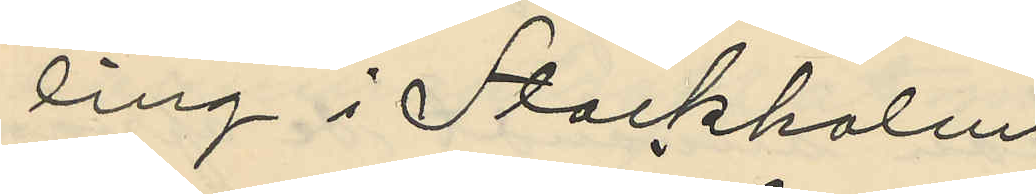ling i Stockholm
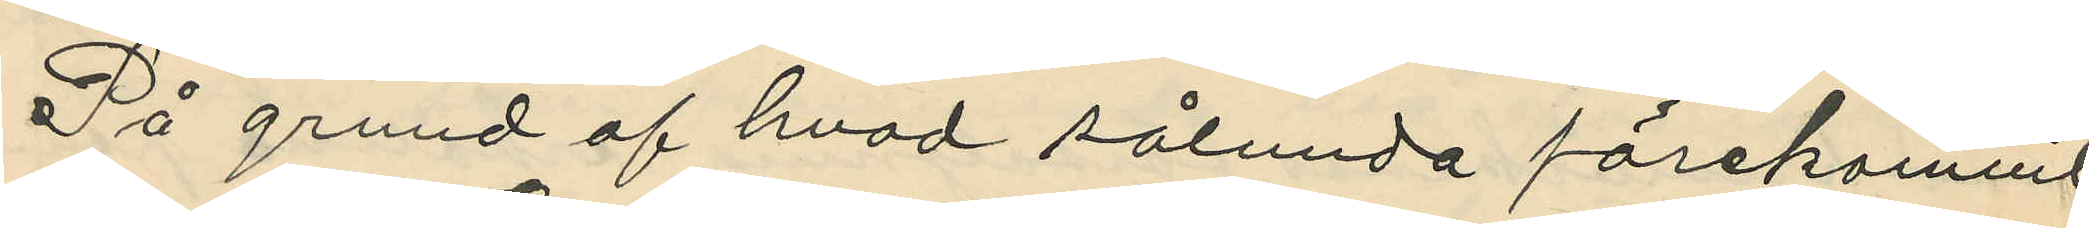På grund af hvad sålunda förekommit,
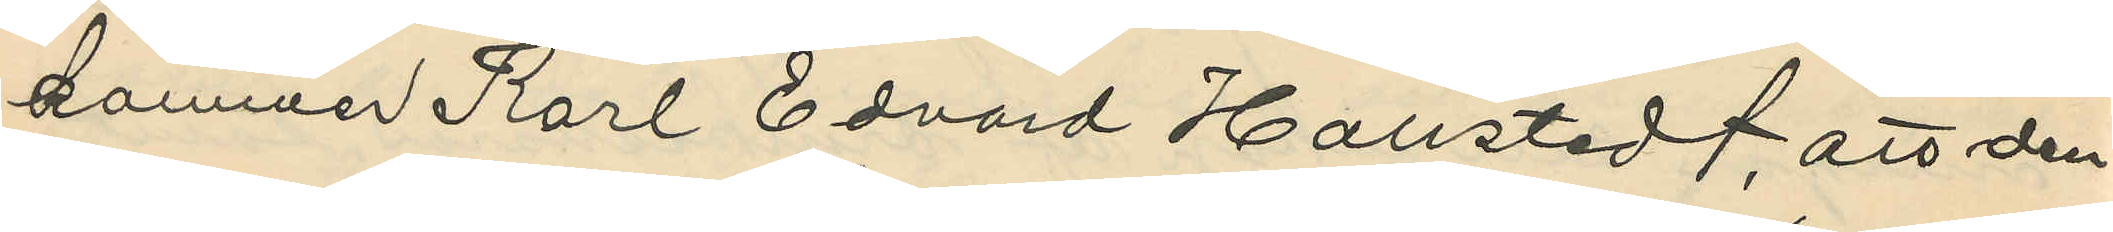kommer Karl Edvard Hallstedt, att den¬
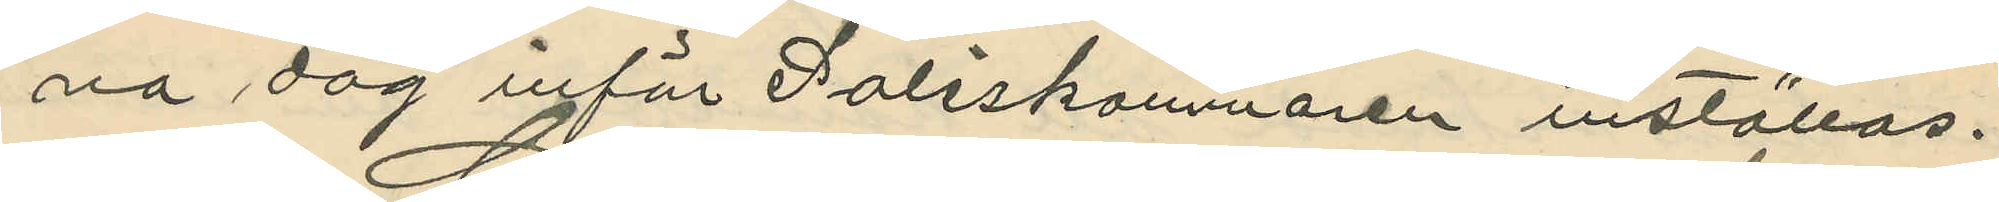na dag inför Poliskammaren inställas.
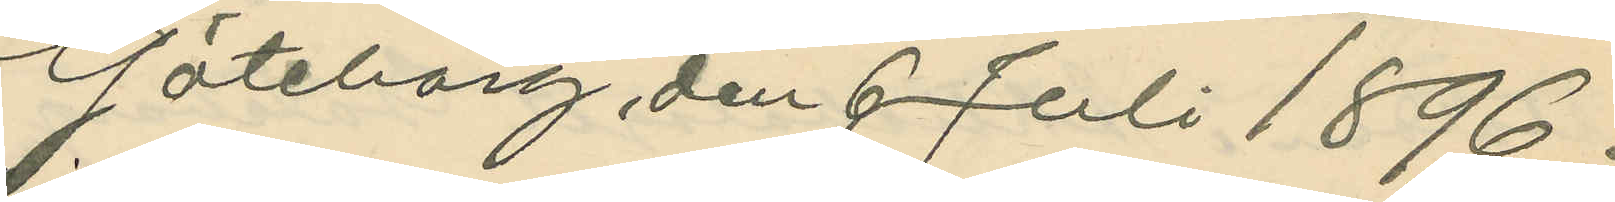Göteborg den 6 Juli 1896.
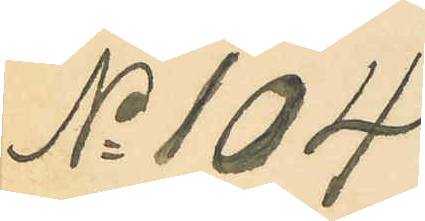No 104
